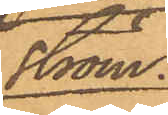ström
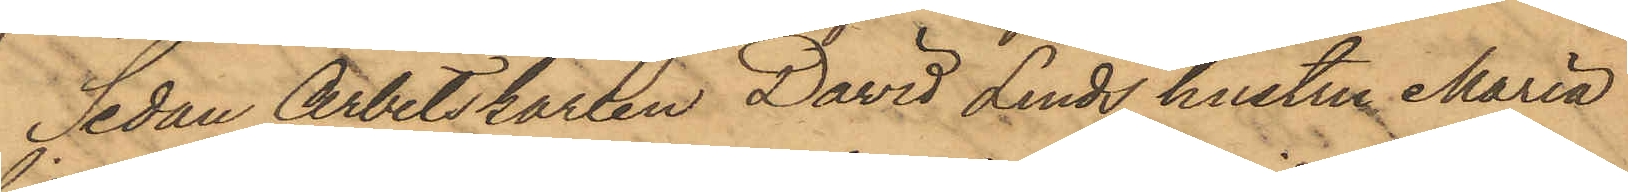Sedan Arbetskarlen David Linds hustru Maria
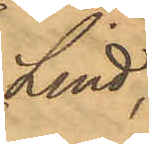Lind
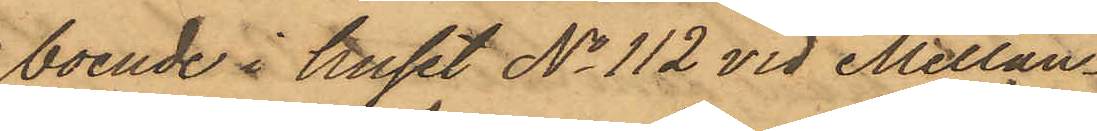boende i huset No 112 vid Mellan¬
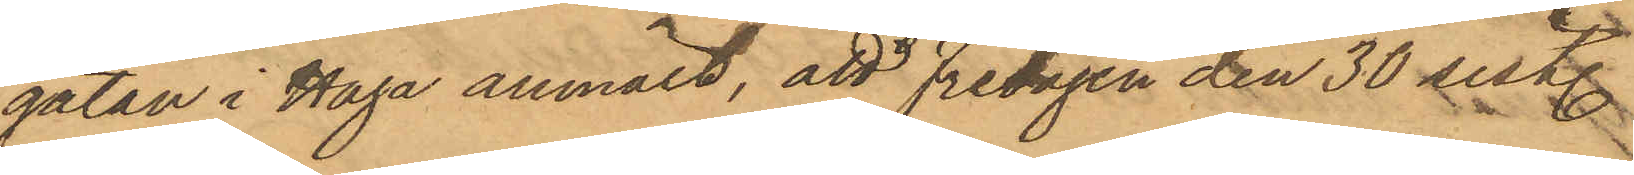gatan i Haga anmält, att Fredagen den 30 sist.
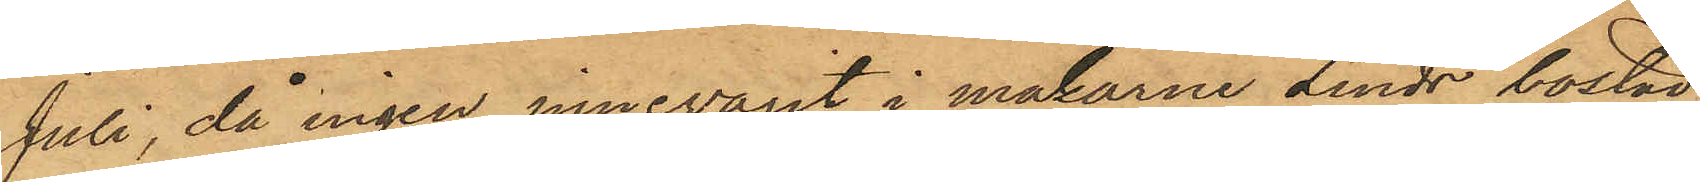Juli, då ingen innevarit i makarne Linds bostad,
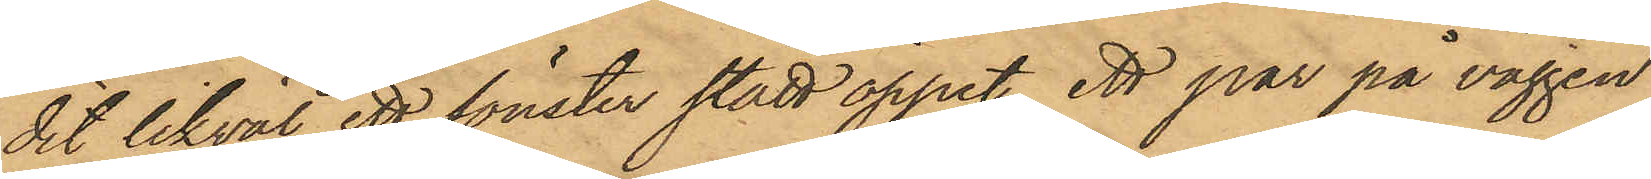dit likväl ett fönster stått öppet, ett par på väggen
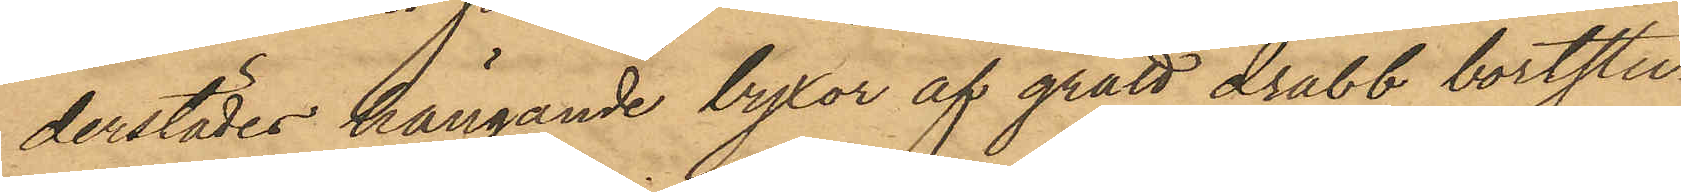derstädes hängande byxor af grått drabb bortstu¬
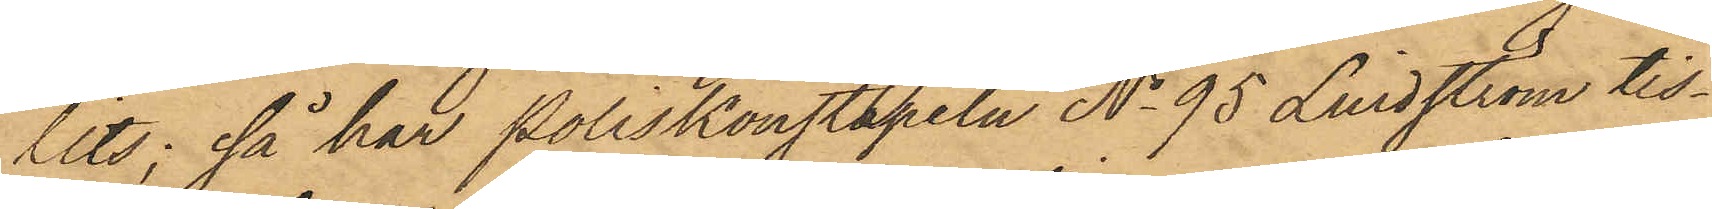lits: så har Poliskonstapeln No 95 Lindström tis¬
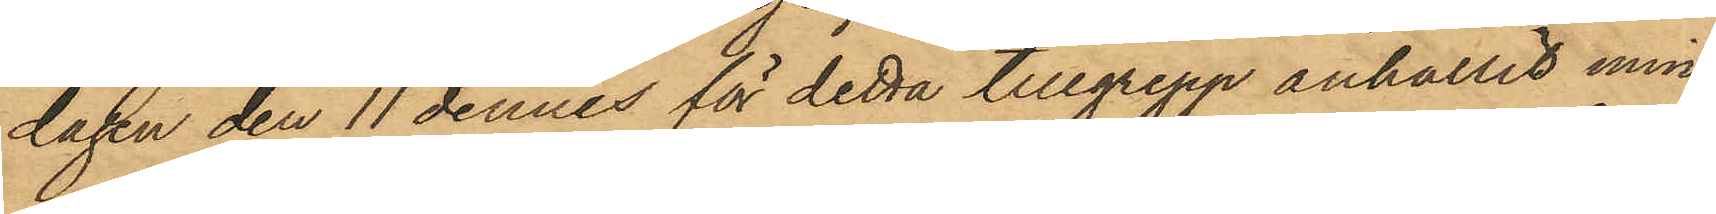dagen den 11 dennes för detta tillgrepp anhållit min¬
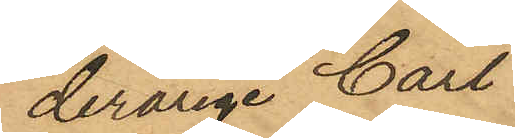derårige Carl
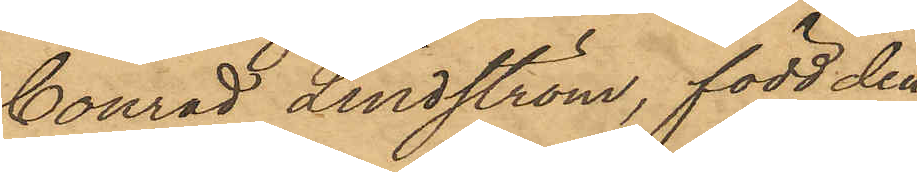Conrad Lindström, född den
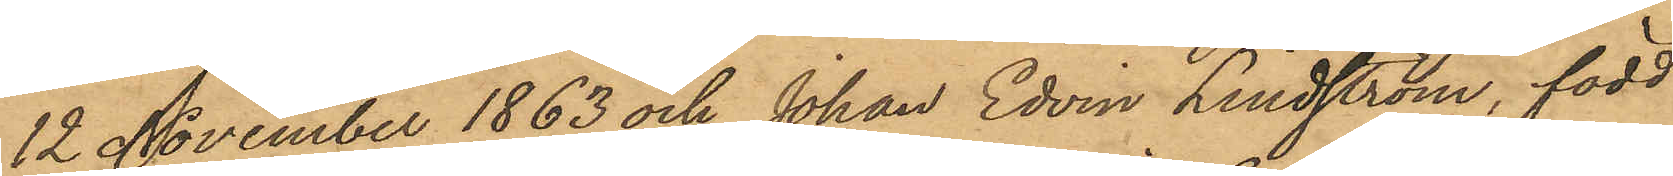12 November 1863 och Johan Edvin Lindström, född
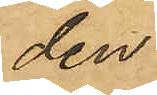den
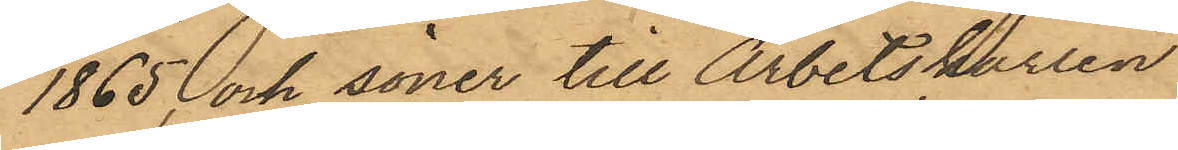1865, och söner till Arbetskarlen
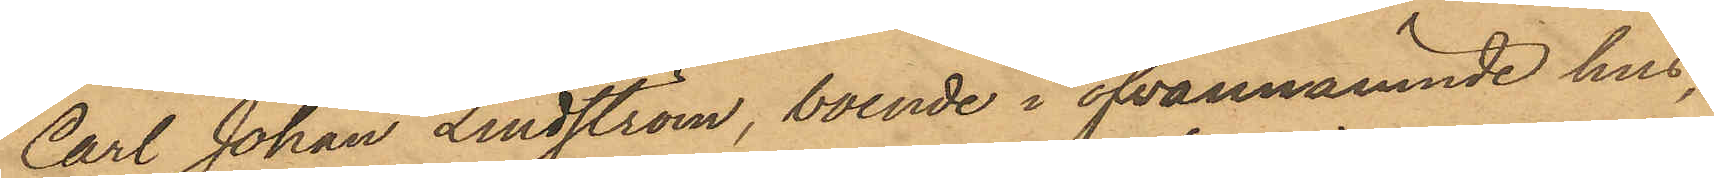Carl Johan Lindström, boende i ofvannämnde hus;
